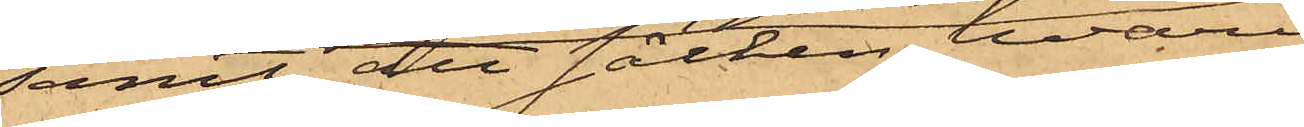samt att säcken, hvari
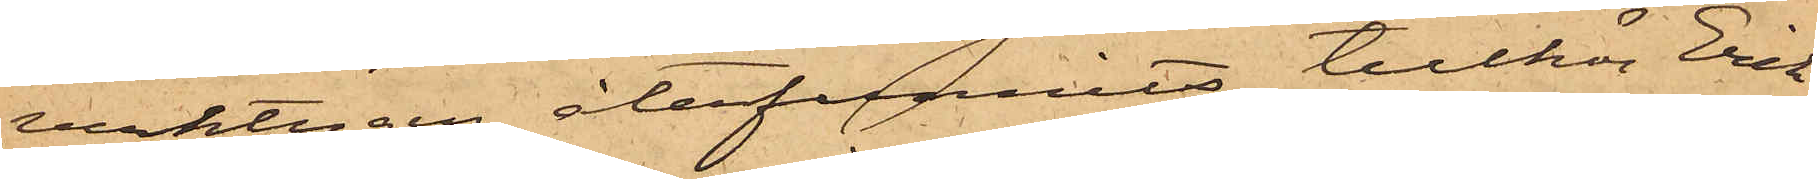verktygen återfunnits, tillhör Erik
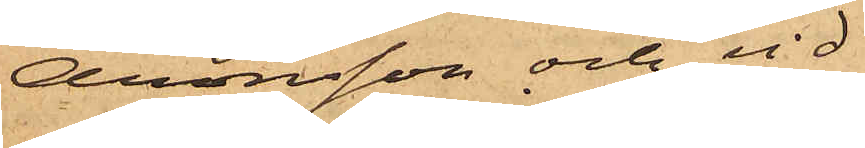Aronsson och vid
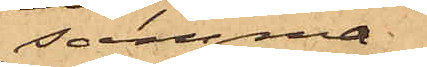samma
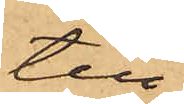till¬
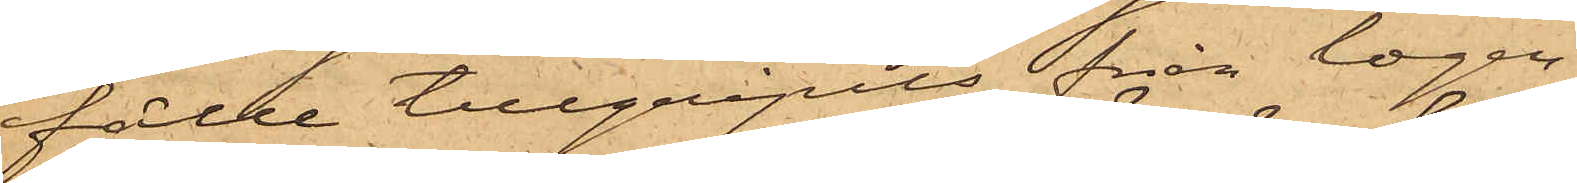fälle tillgripits från logen.
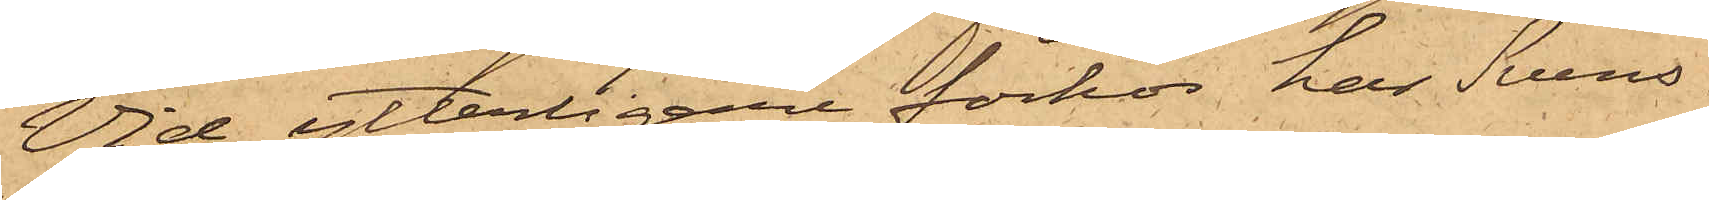Vid ytterligare förhör har Svens¬
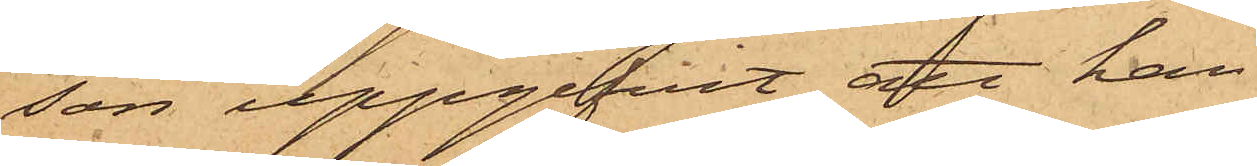son uppgifvit att han
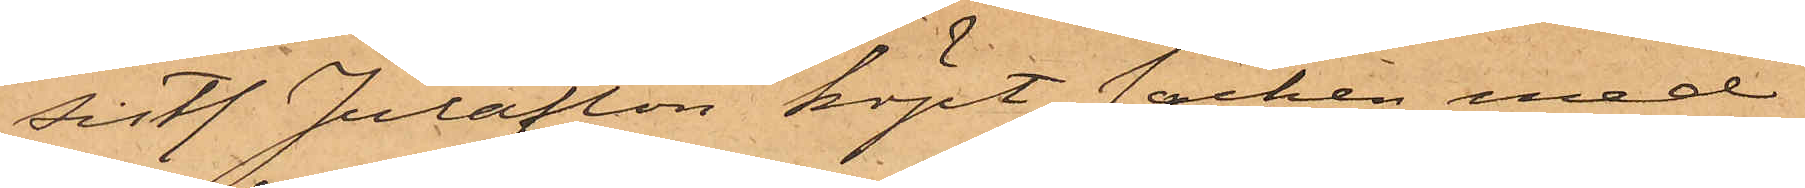sistl. Julafton köpt säcken med
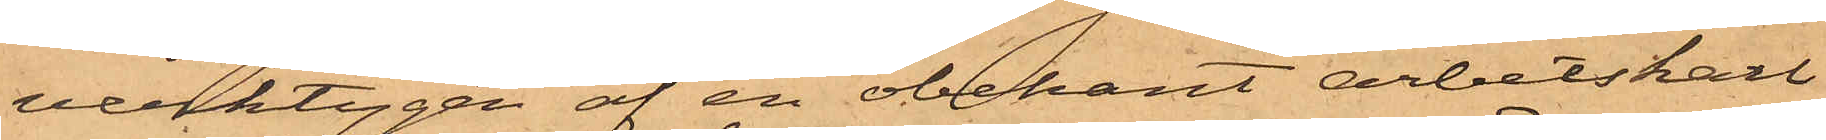verktygen af en obekant arbetskarl
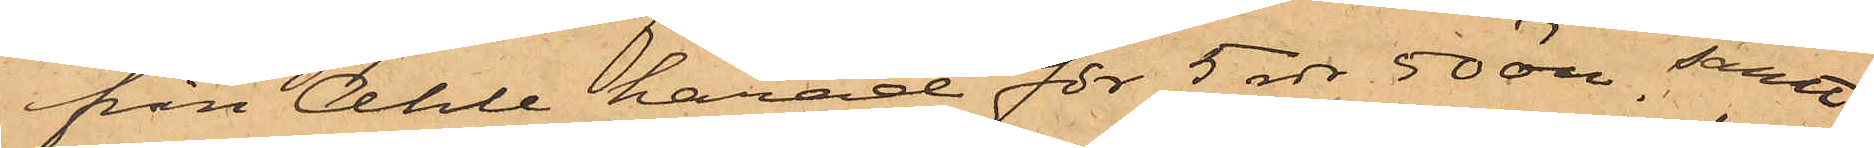från Ahle härad för 5 rdr 50 öre, samt
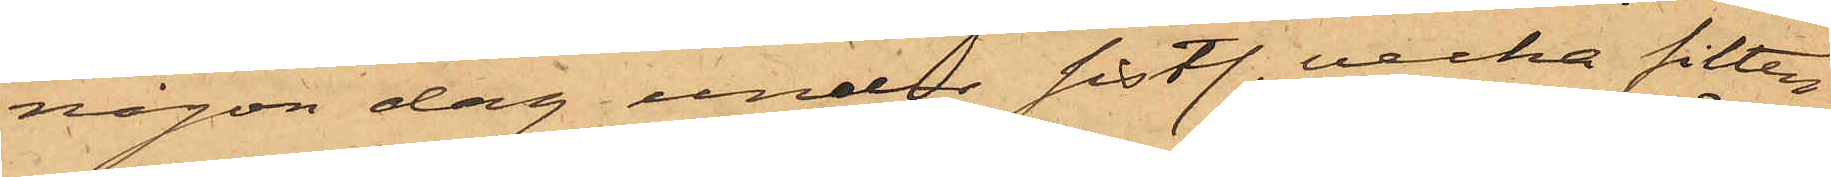någon dag under sistl. vecka filten
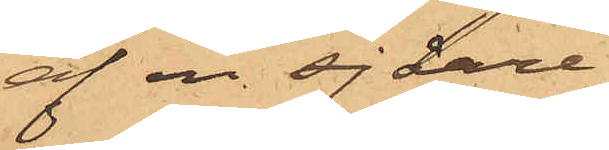af en sjåare,
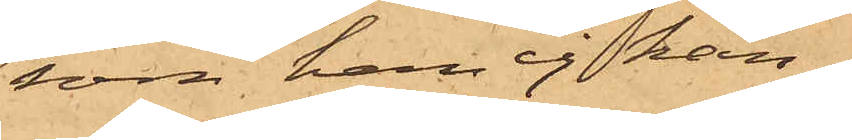som han ej kän¬
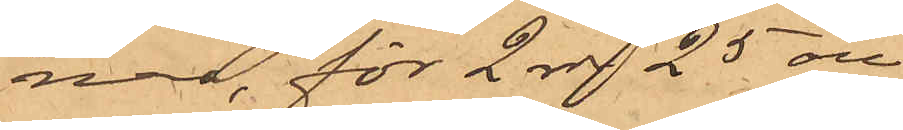ner, för 2 rdr 25 öre.
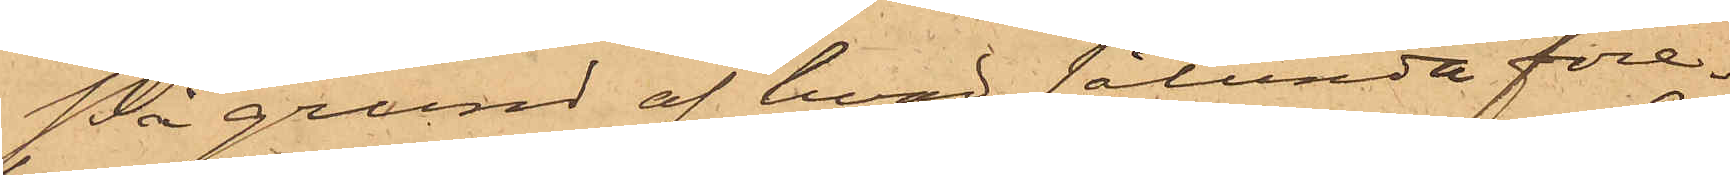På grund af hvad sålunda före¬
